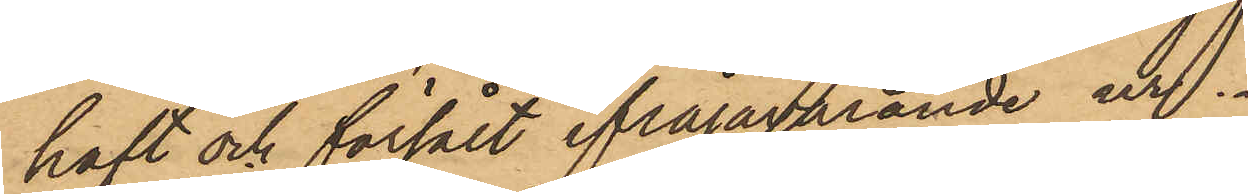haft och försålt ifrågavarande ur.
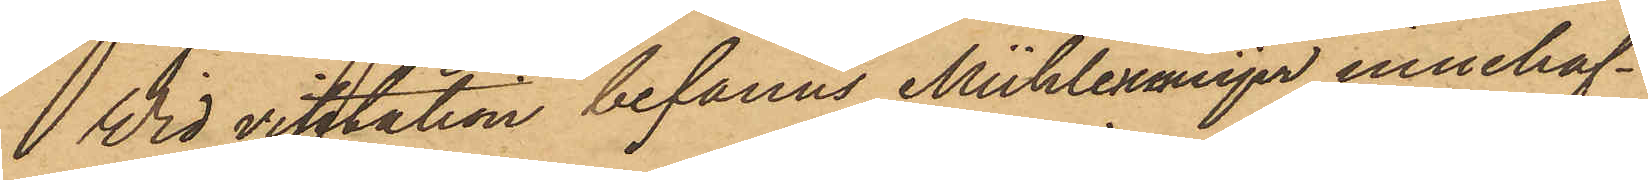Wid visitation befanns Mühlenmeijer innehaf¬
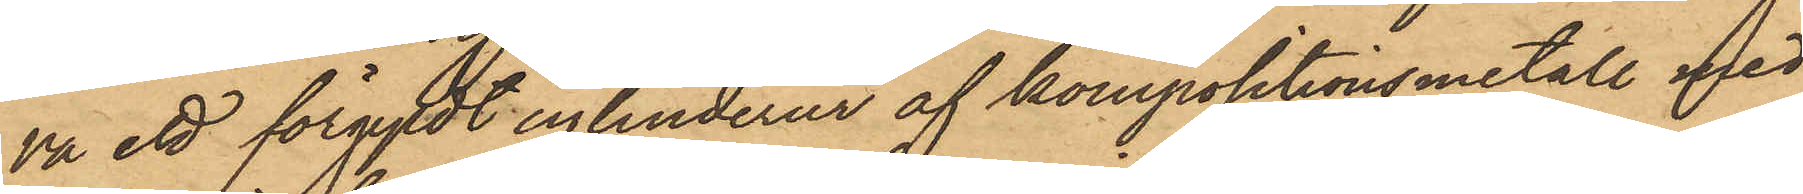va ett förgyldt cylinderur af kompositionsmetall med
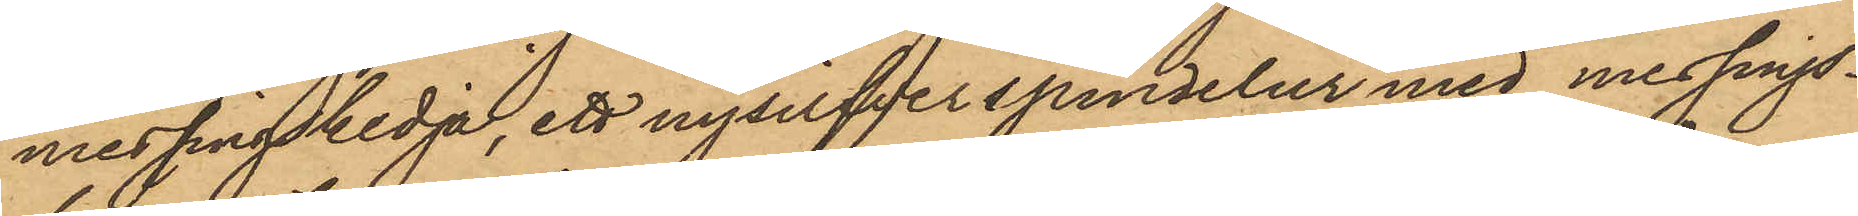messingskedja, ett nysilfverspindelur med messings¬
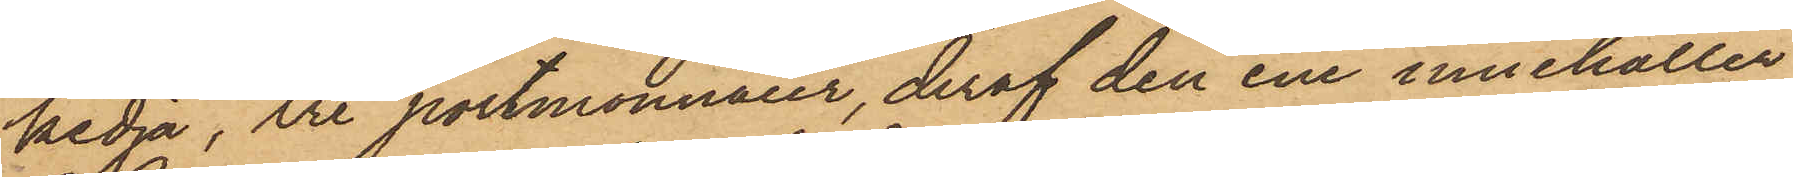kedja, tre portmonnaier, deraf den ene innehåller
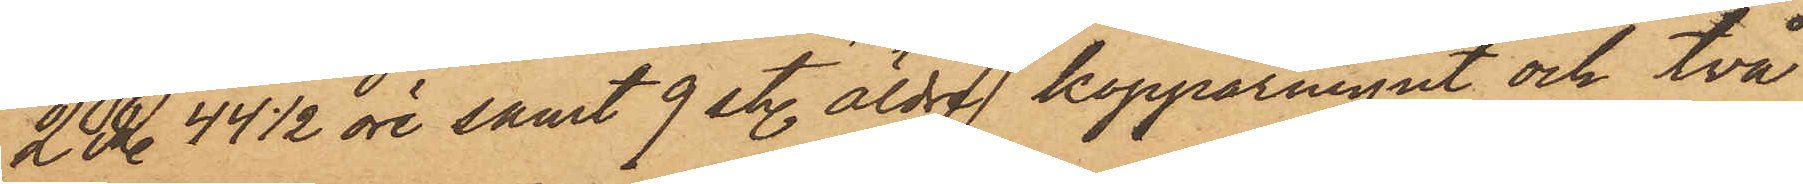2 Rdr 44½ öre samt 9 sty. äldre kopparmynt och två
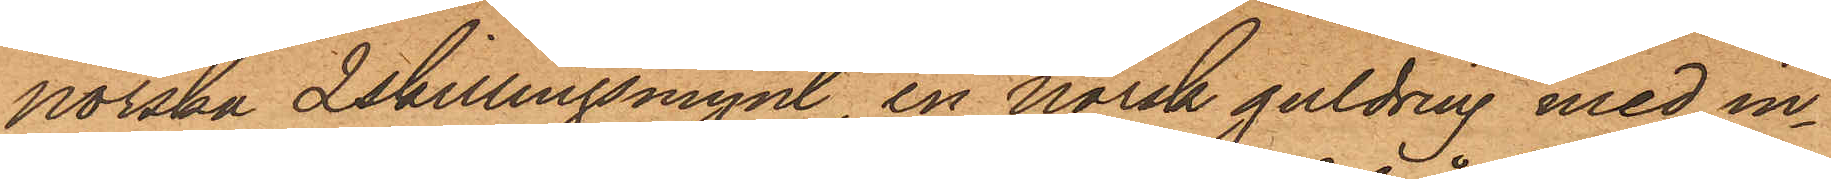norska 2skillingsmynt, en norsk guldring med in¬
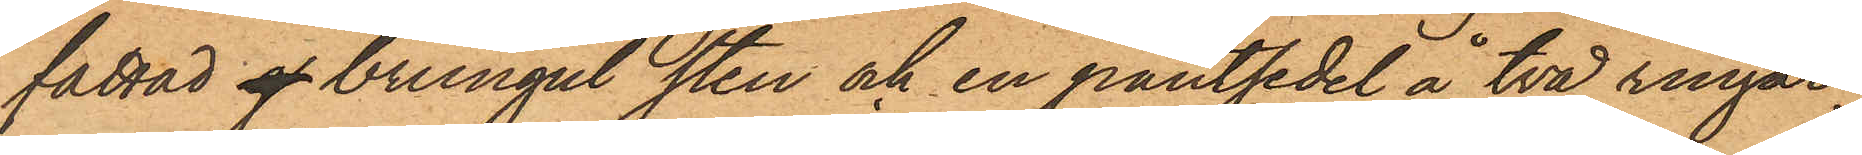fattad g brungul sten och en pantsedel å två ringar,
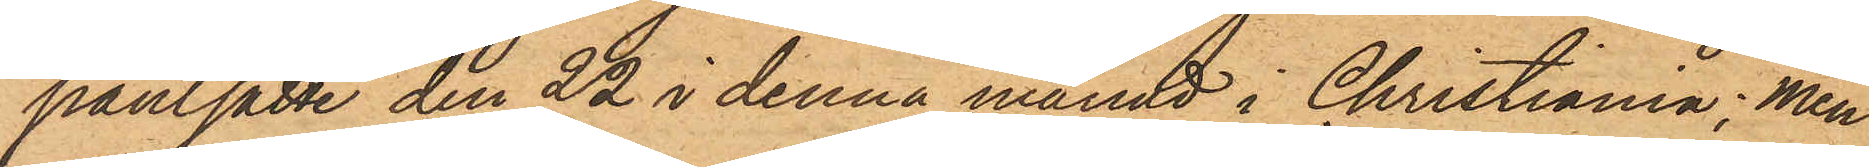pantsatte den 22 i denna månad i Christiania; men
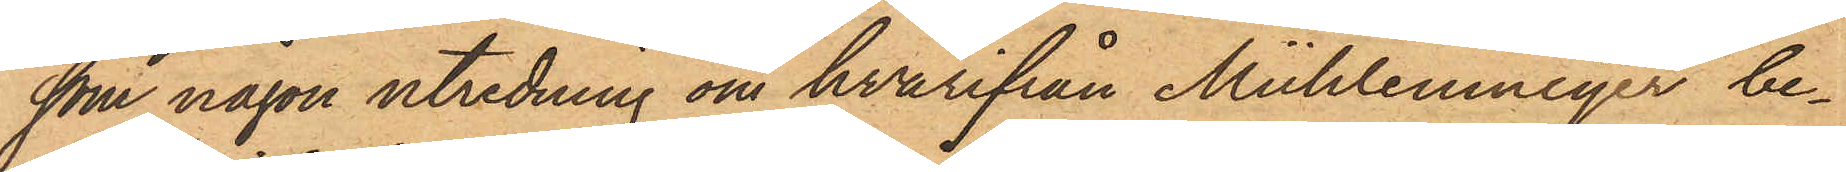som någon utredning om hvarifrån Mühlenmeijer be¬
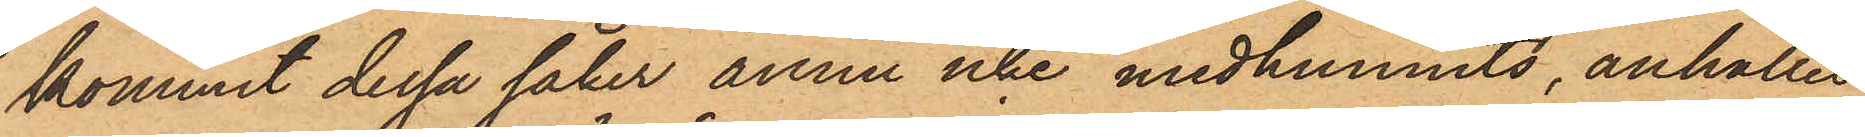kommit dessa saker ännu icke medhunnits, anhålles
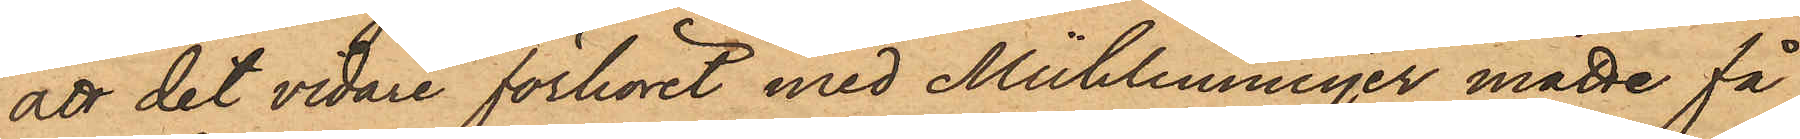att det vidare förhöret med Mühlenmeijer måtte få
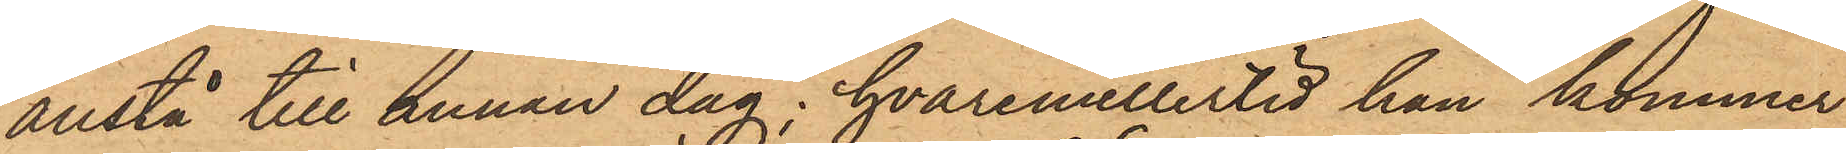anstå till annan dag, hvaremellertid han kommer
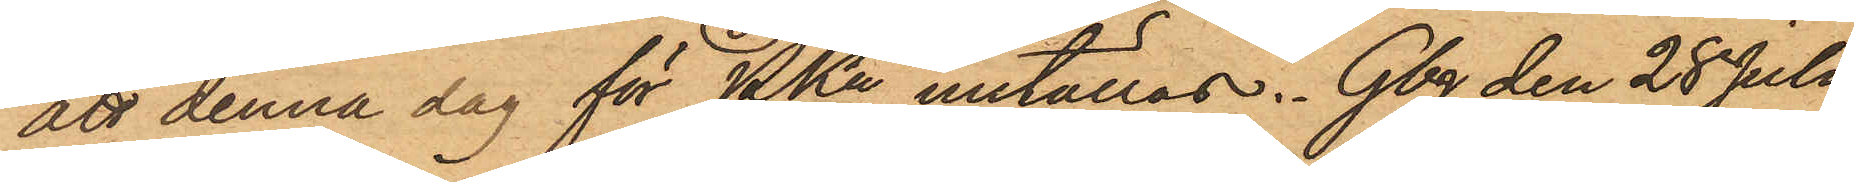att denna dag för PKn inställas. Gbg den 28 Juli
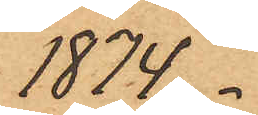1874.
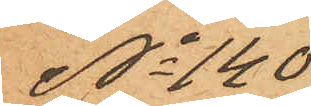No 140
